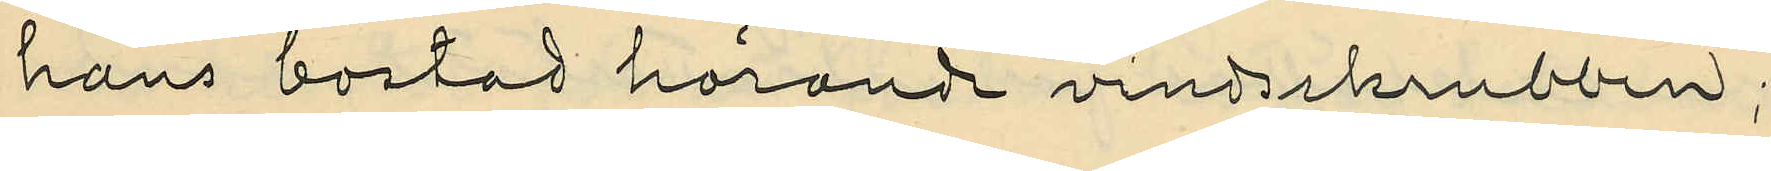hans bostad hörande vindsskrubben;
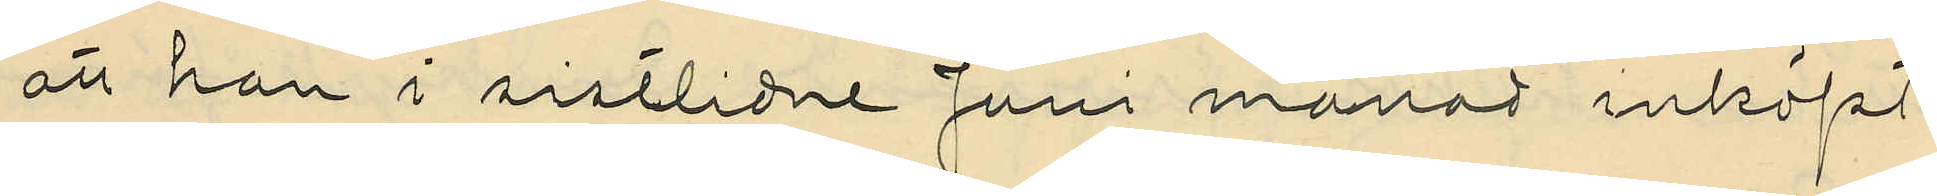att han i sistlidne Juni månad inköpt
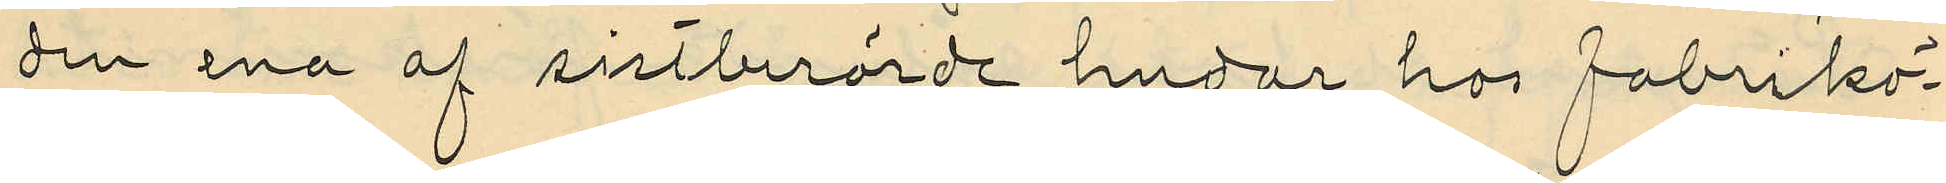den ena af sistberörde hudar hos fabrikö¬
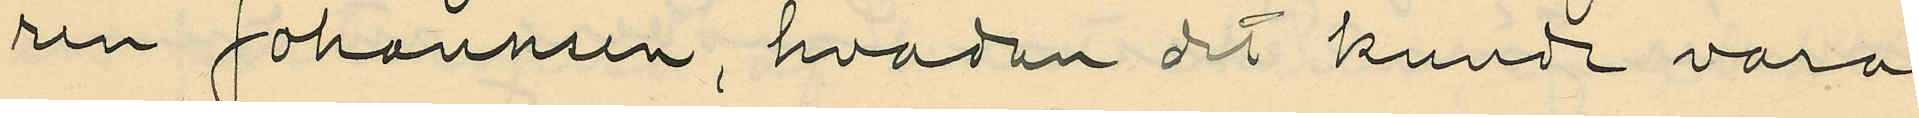ren Johannsen, hvadan det kunde vara
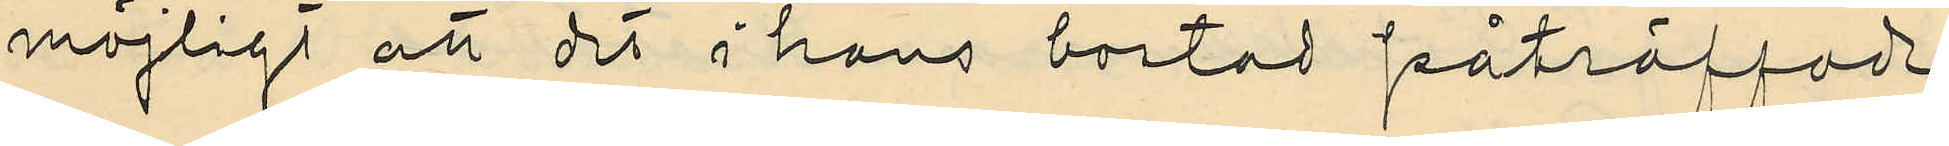möjligt att det i hans bostad påträffade
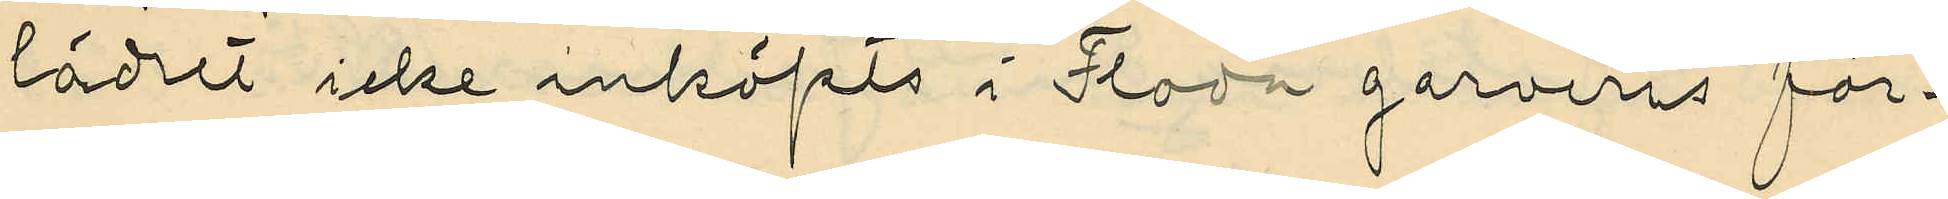lädret icke inköpts i Floda garveris för¬
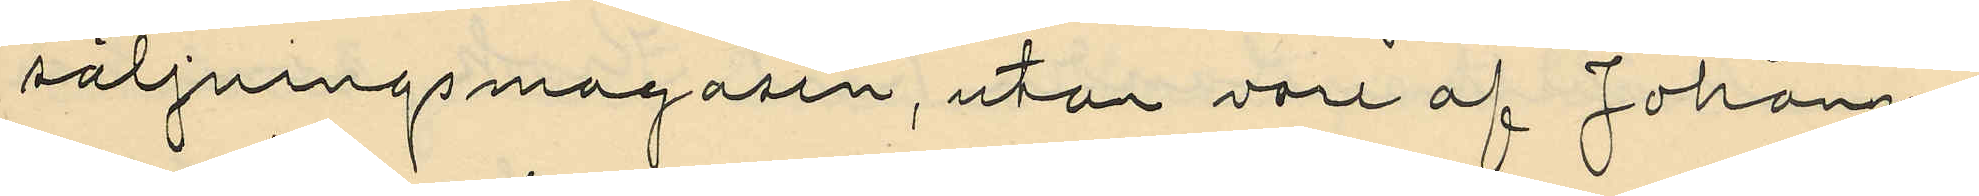säljningsmagasin, utan vore af Johann¬
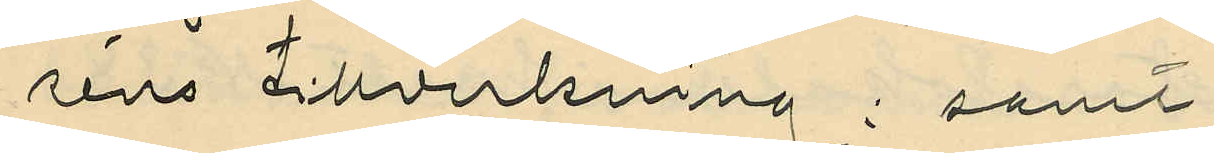séns tillverkning; samt
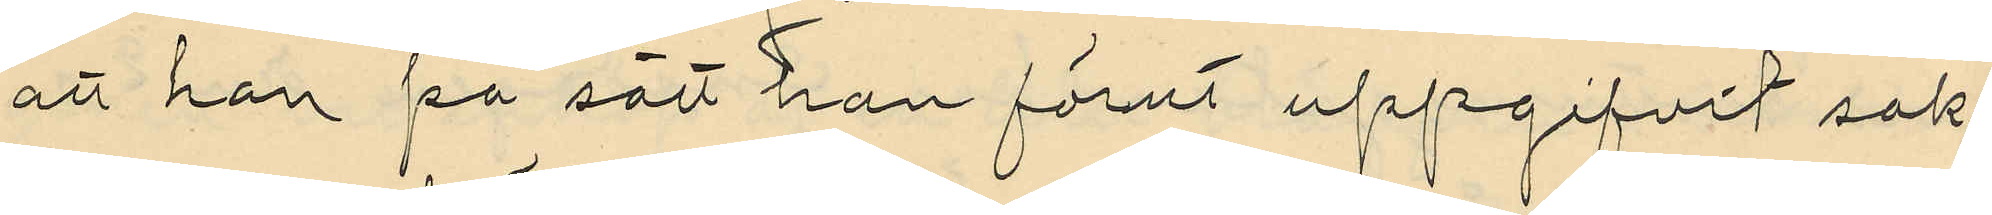att han på sätt han förut uppgifvit sak¬
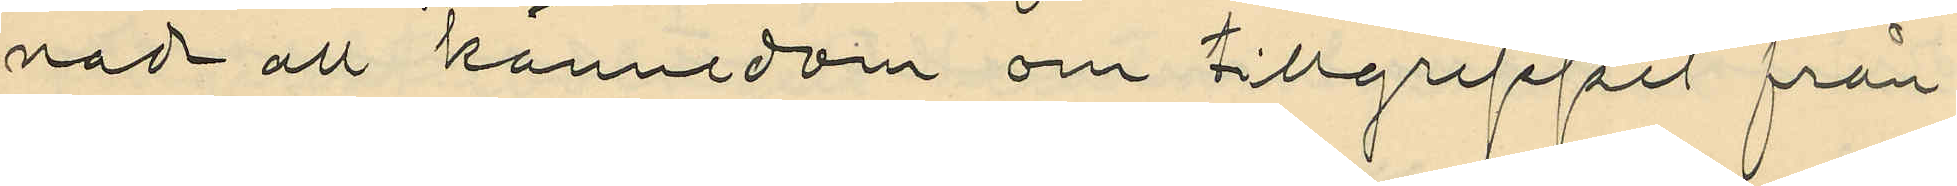nade all kännedom om tillgreppet från
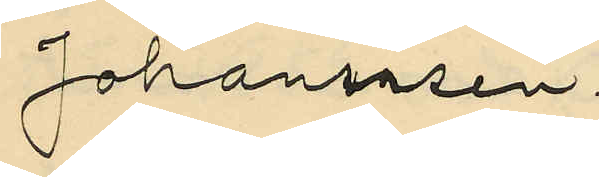Johannsen.
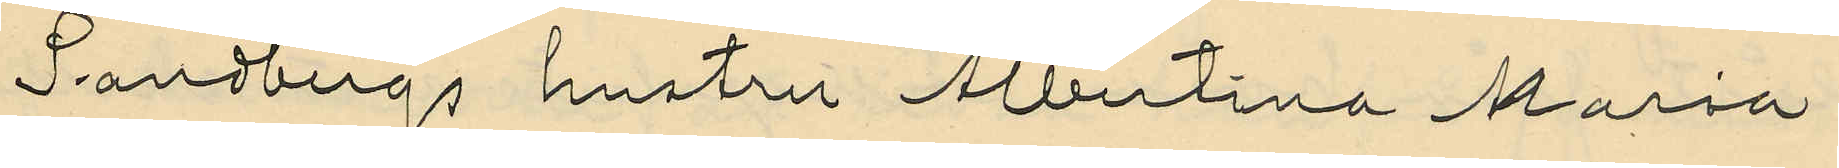Sandbergs hustru Albertina Maria
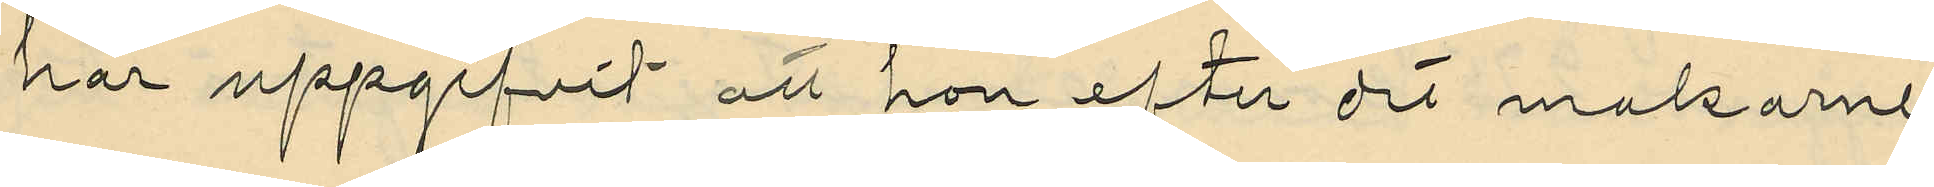har uppgifvit att hon efter det makarne
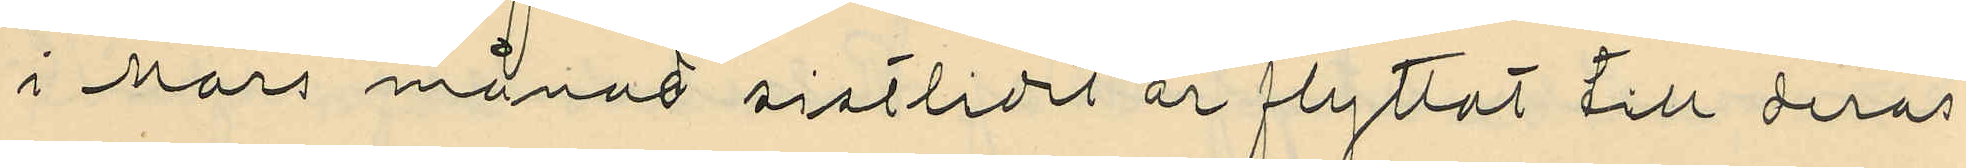i Mars månad sistlidet är flyttat till deras
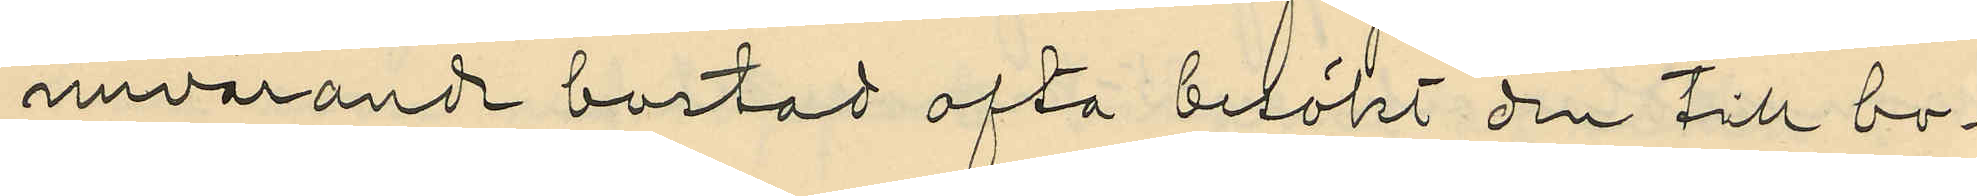nuvarande bostad ofta besökt den till bo¬
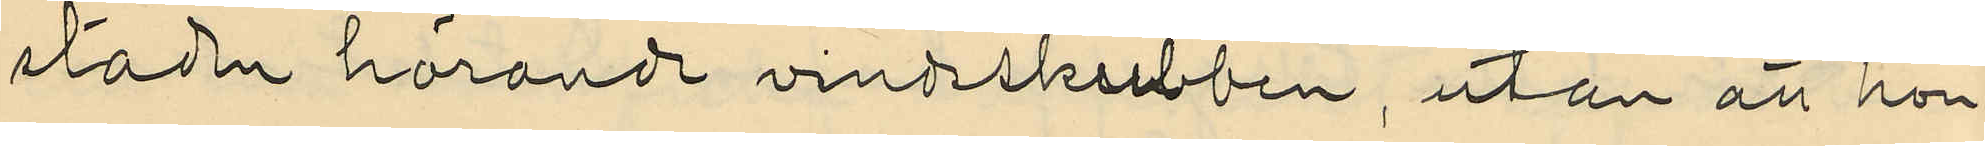staden hörande vindsskrubben, utan att hon
